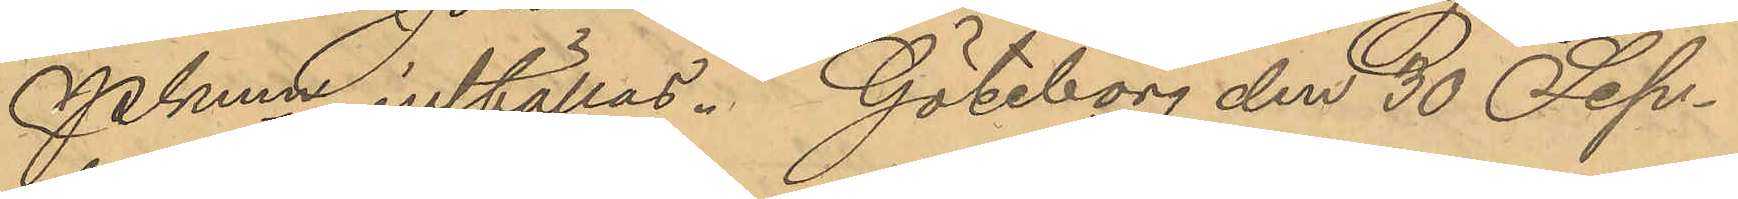Pkmn inställas. Göteborg den 30 Sep¬
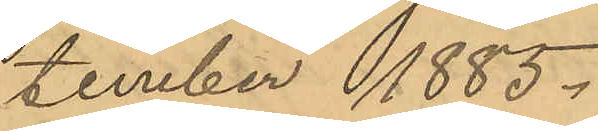tember 1885.
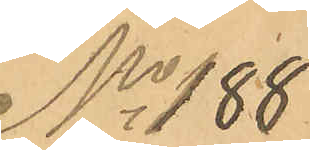No 188
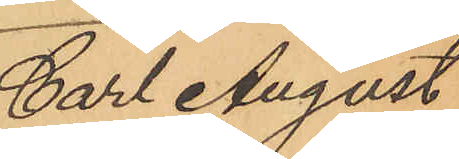Carl August
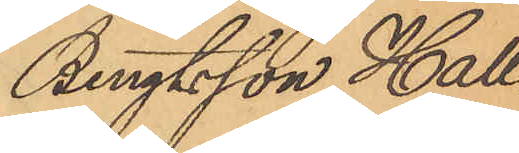Bengtsson Hall¬
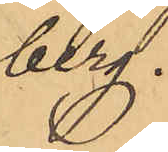berg.
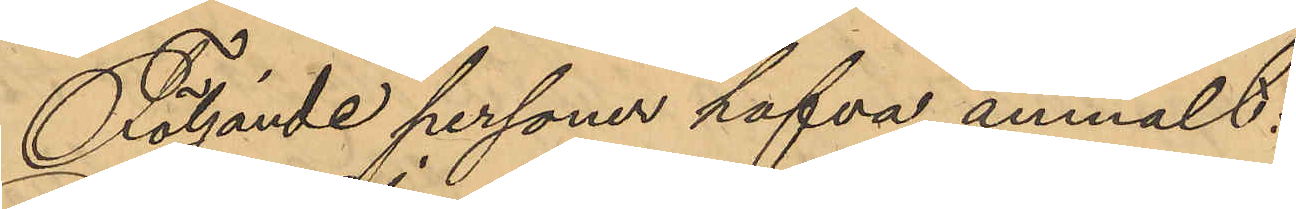Följande personer hafva anmält:
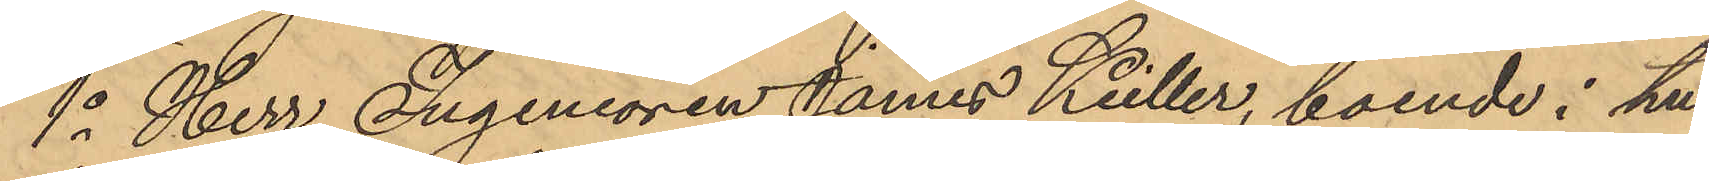1o Herr Ingeniören James Kuller, boende i hu¬
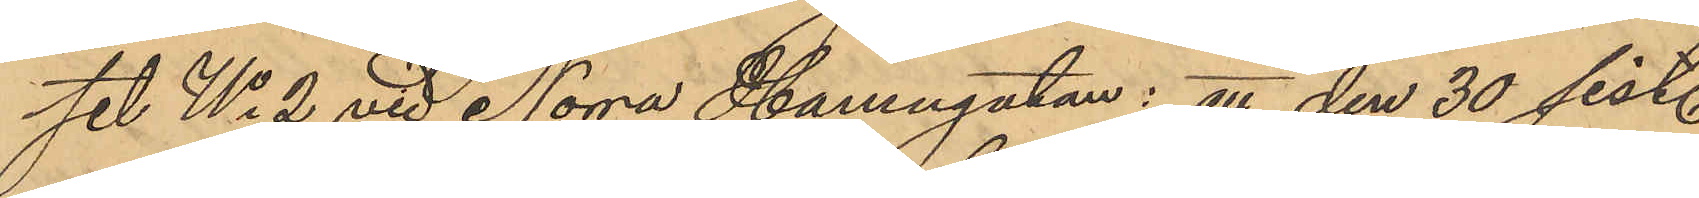set No 2 vid Norra Hamngatan: att den 30 sist.
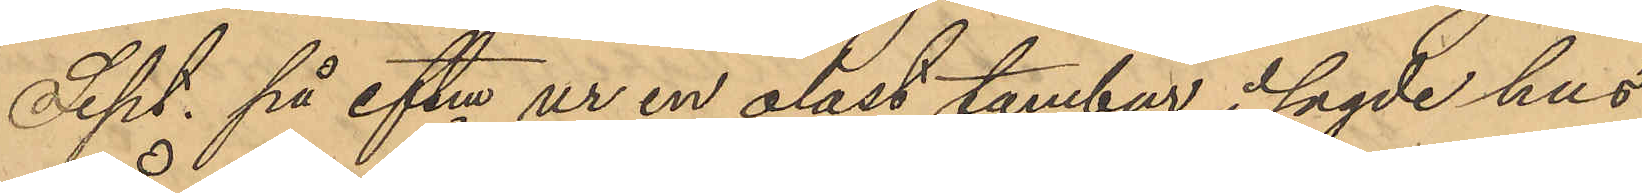Sept. på eftm ur en olåst tambur i sagde hus
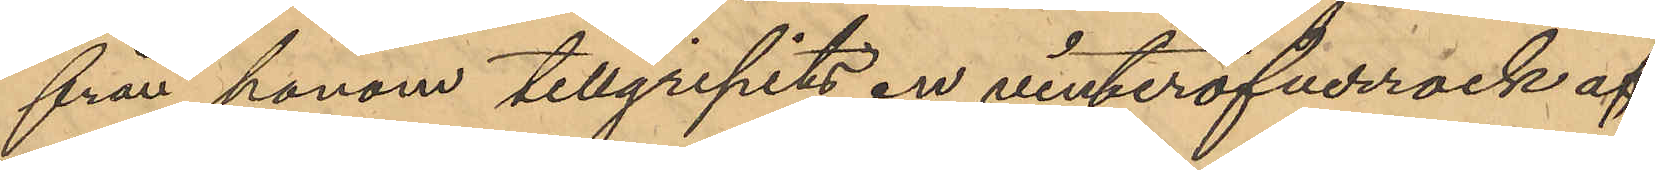från honom tillgripits en vinteröfverrock af
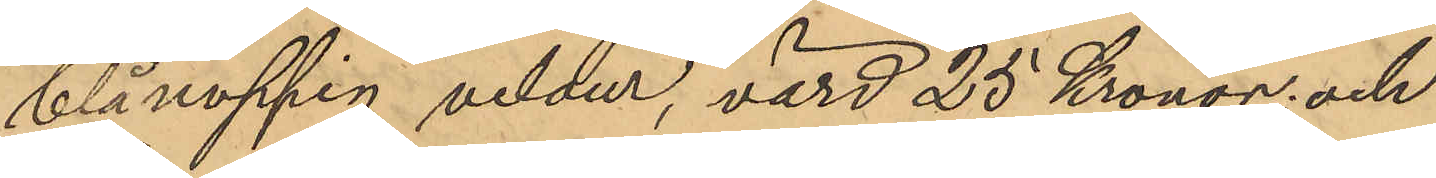blånoppig velour, värd 25 Kronor; och
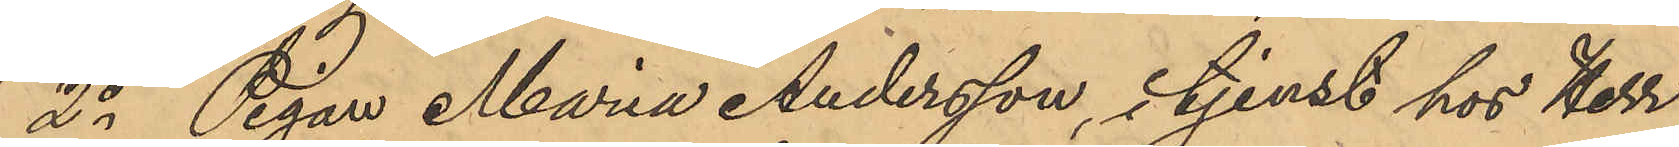2o Pigan Maria Andersson, i tjenst hos Herr
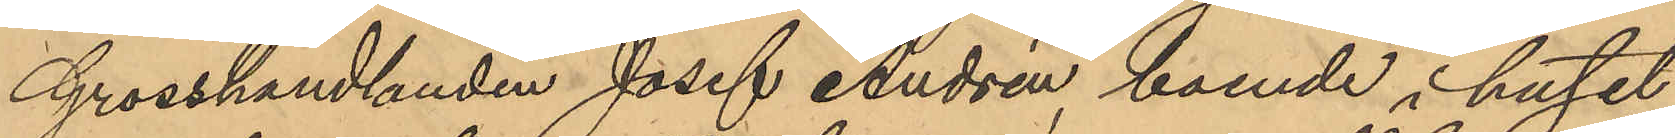Grosshandlanden Josef Andrén, boende i huset
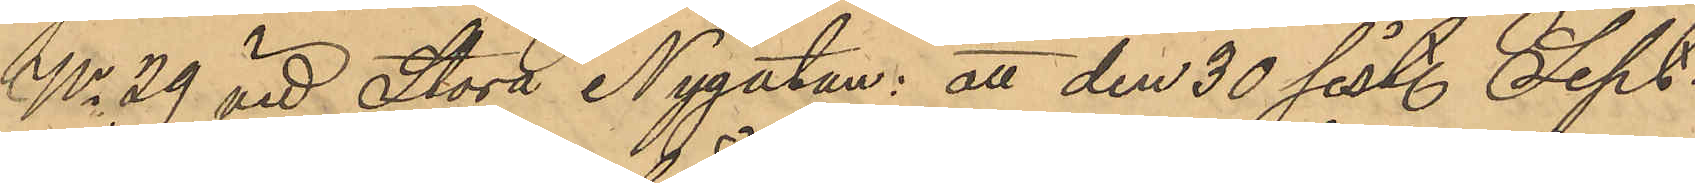No 29 vid Stora Nygatan: att den 30 sist. Sept.
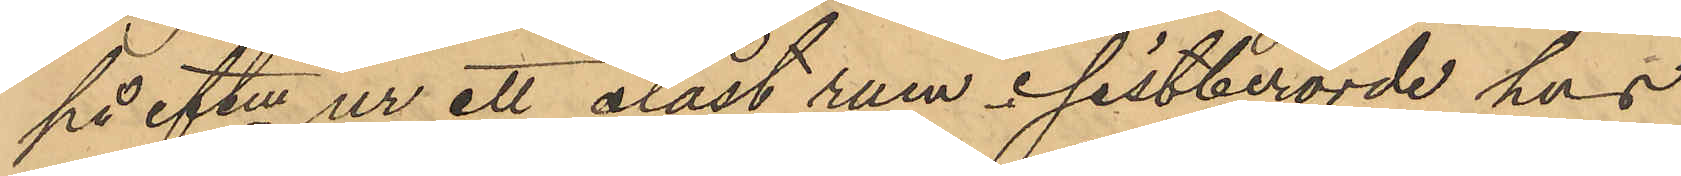på eftm ur ett olåst rum i sistberörde hus
